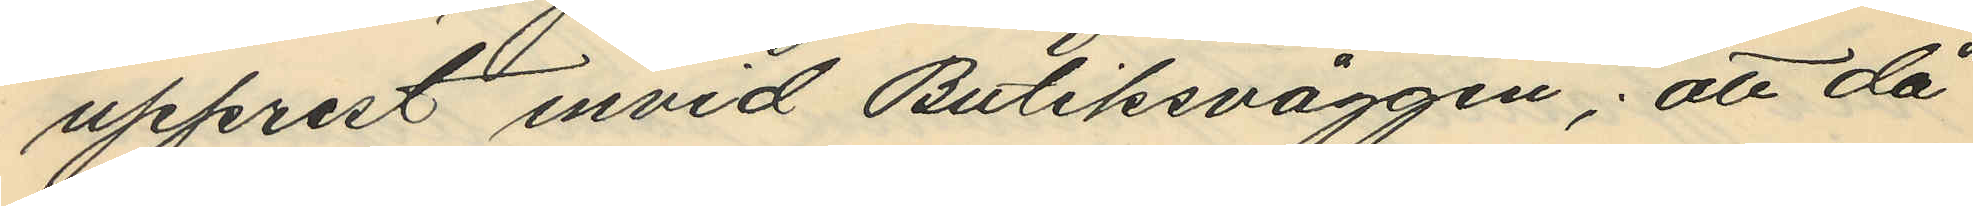upprest invid Butiksväggen; att då
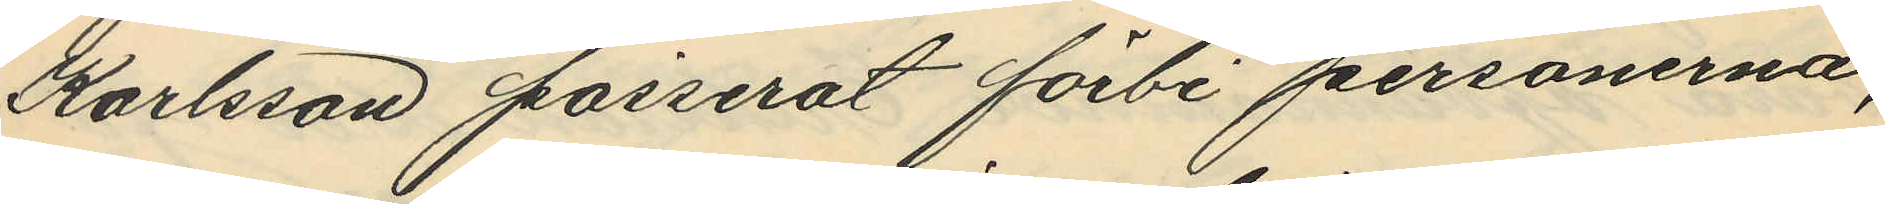Karlsson passerat förbi personerna,
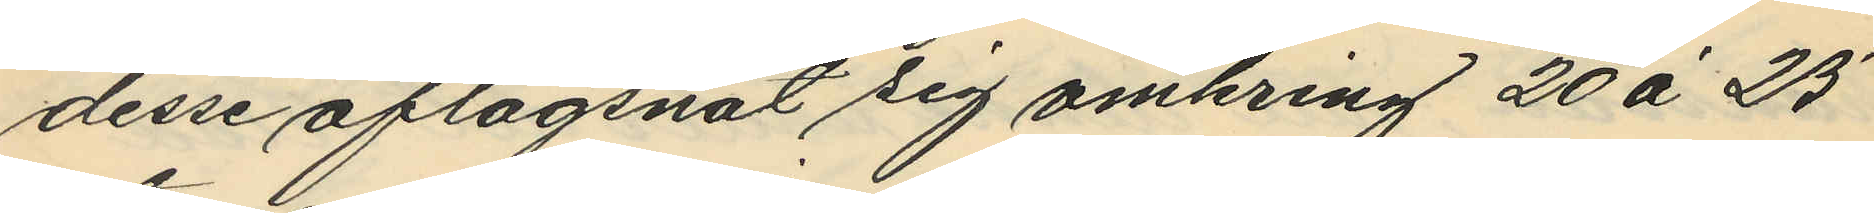desse aflägsnat sig omkring 20 à 25
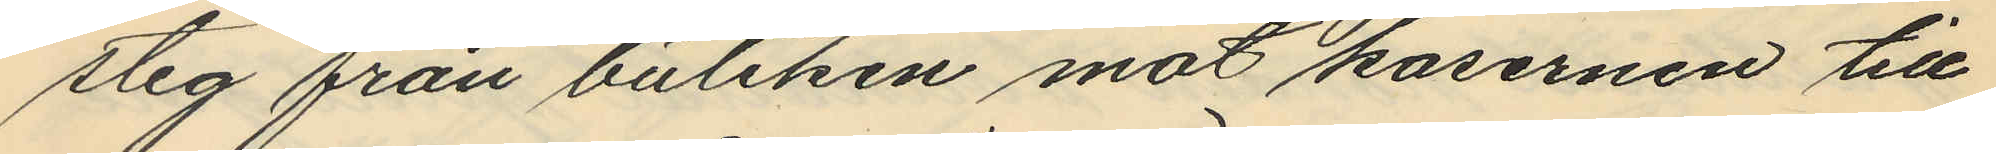stig från butiken mot kasernen till
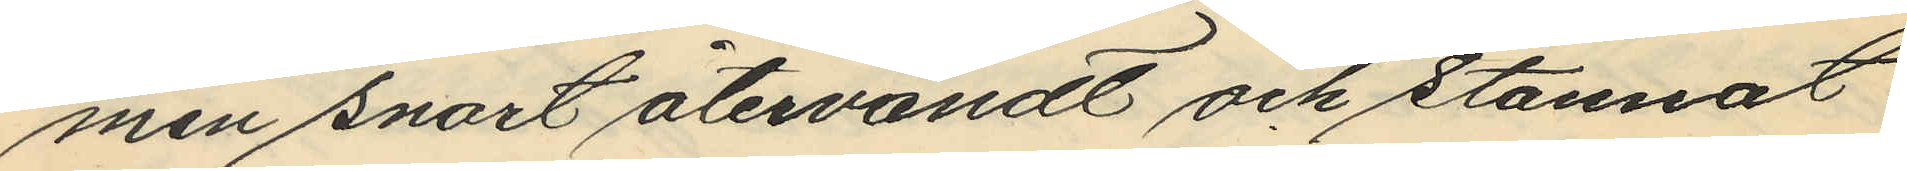men snart återvändt och stannat
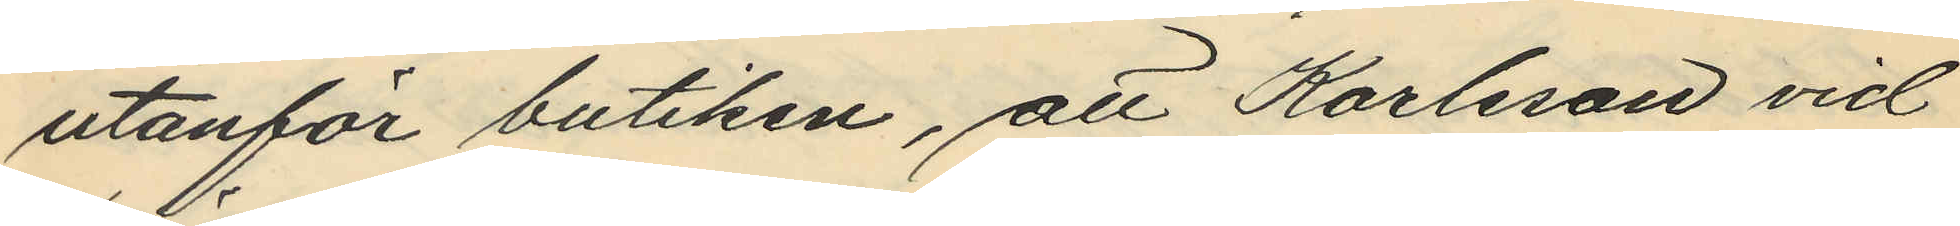utanför butiken, att Karlsson vid
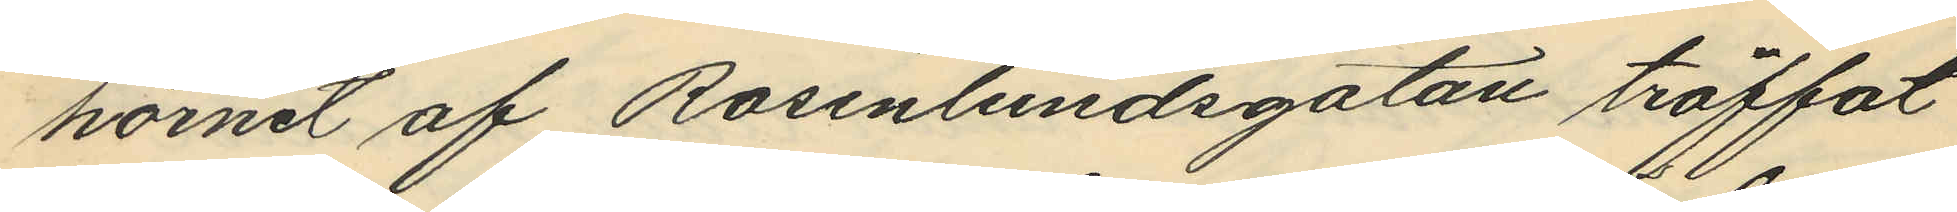hörnet af Rosenlundsgatan träffat
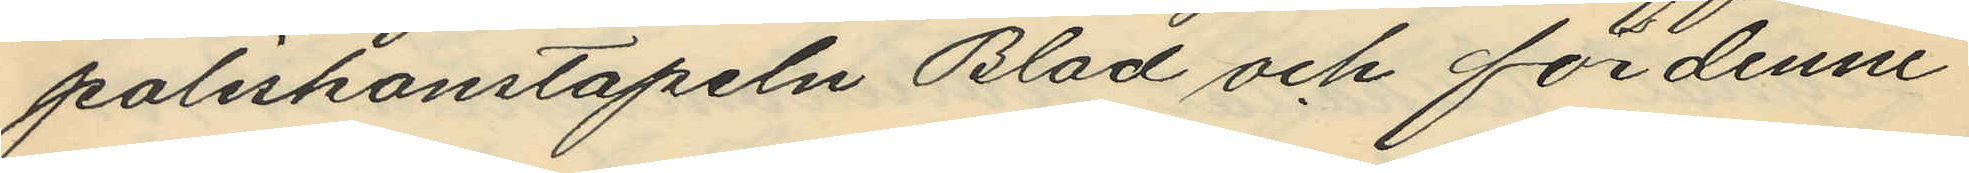poliskonstapeln Blad och för denne
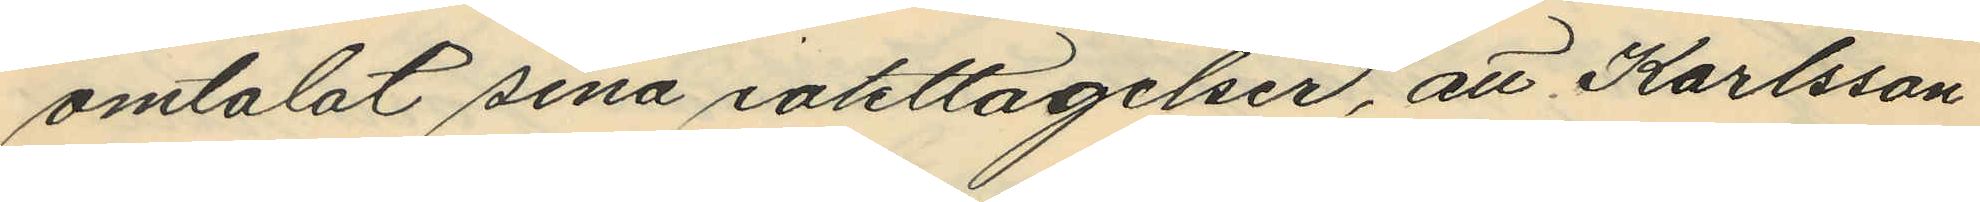omtalat sina iakttagelser, att Karlsson
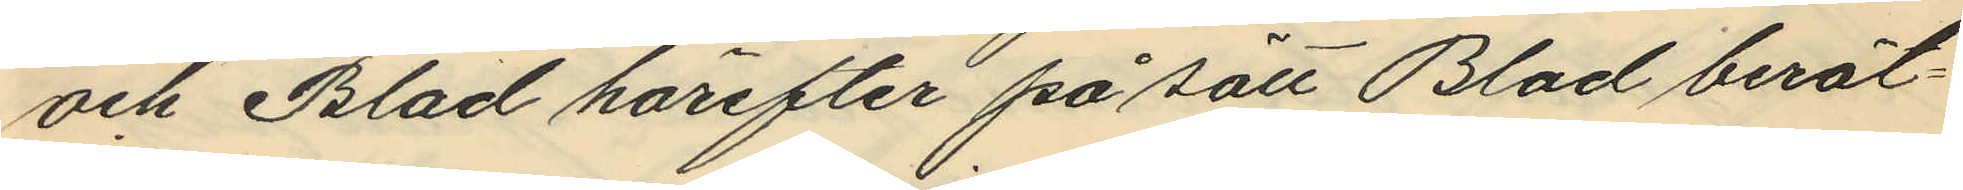och Blad härefter på sätt Blad berät¬
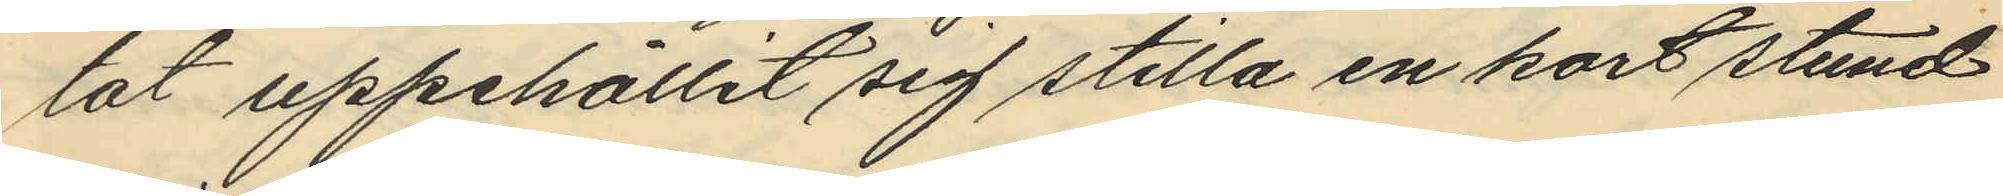tat uppehållit sig stilla en kort stund
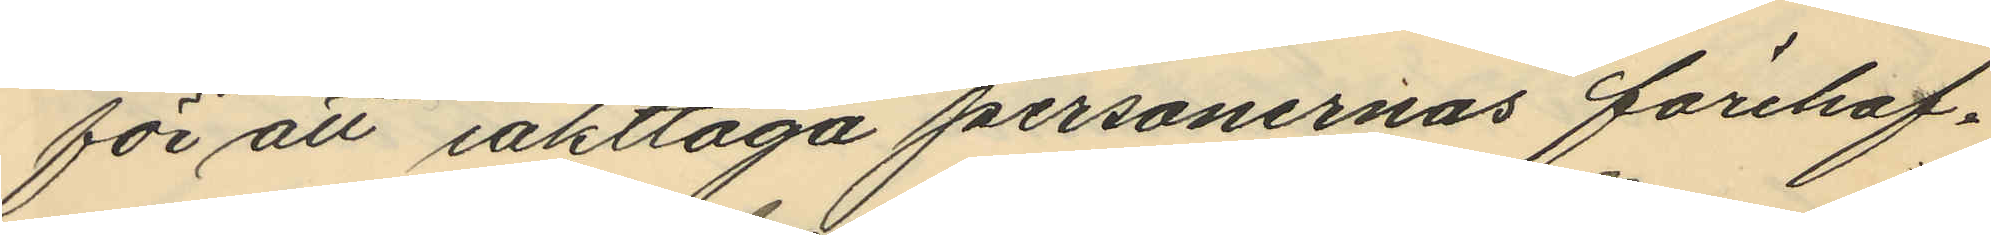för att iakttaga personernas förehaf¬
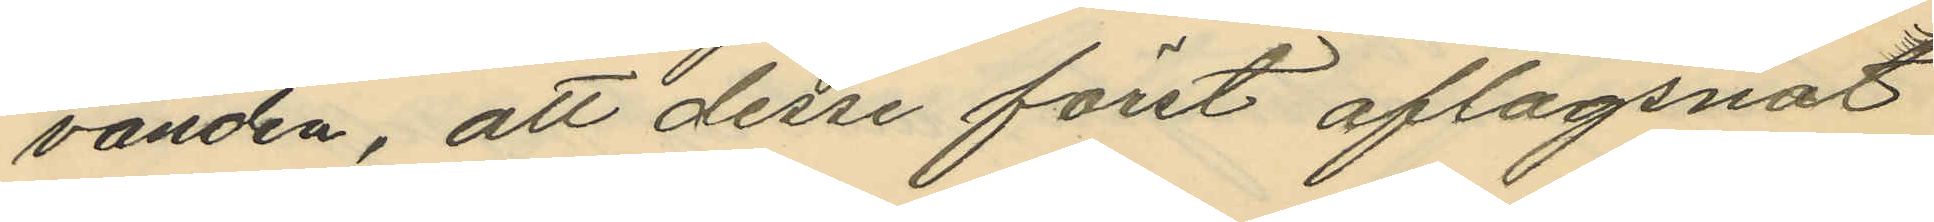vanden, att desse först aflägsnat
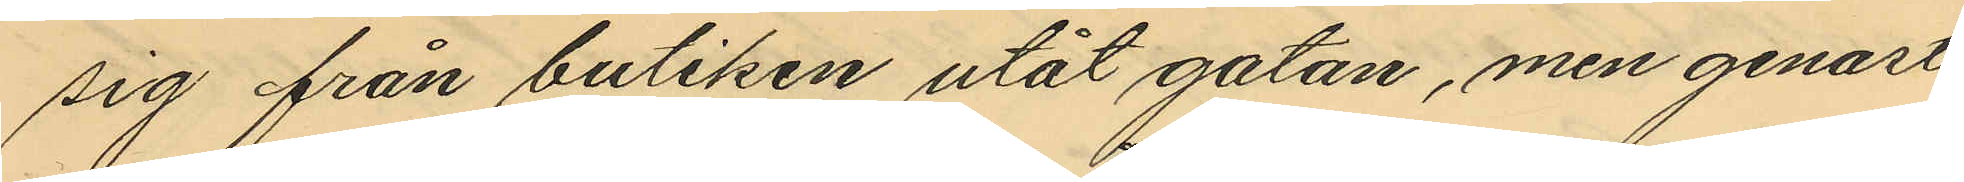sig från butiken utåt gatan, men genast
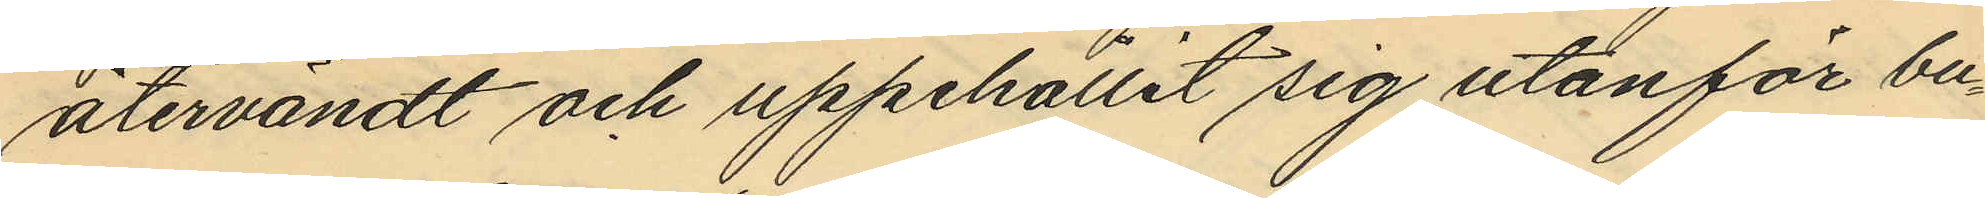återvändt och uppehållit sig utanför bu¬
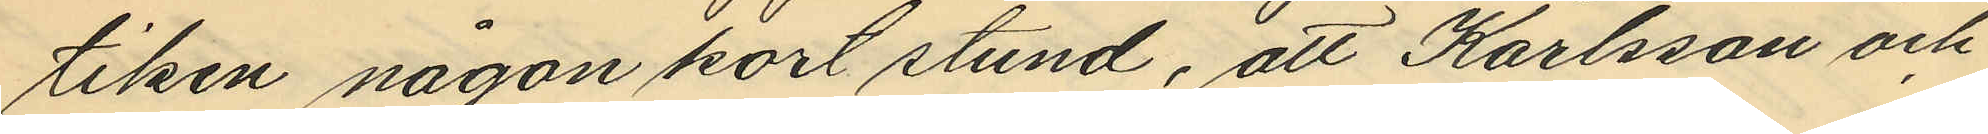tiken någon kort stund, att Karlsson och
